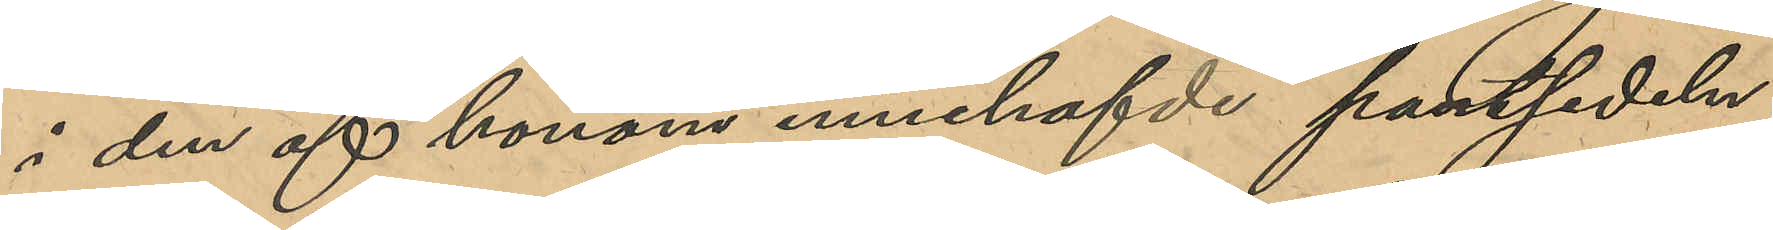i den af honom innehafvde pantsedeln;
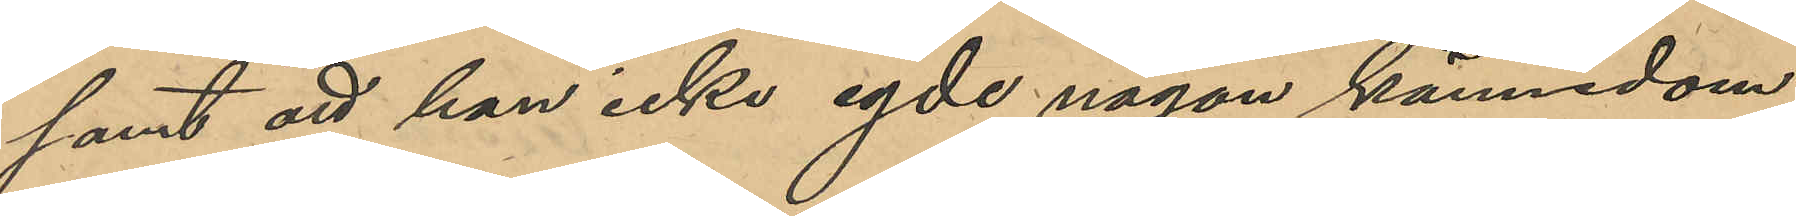samt att han icke egde någon kännedom
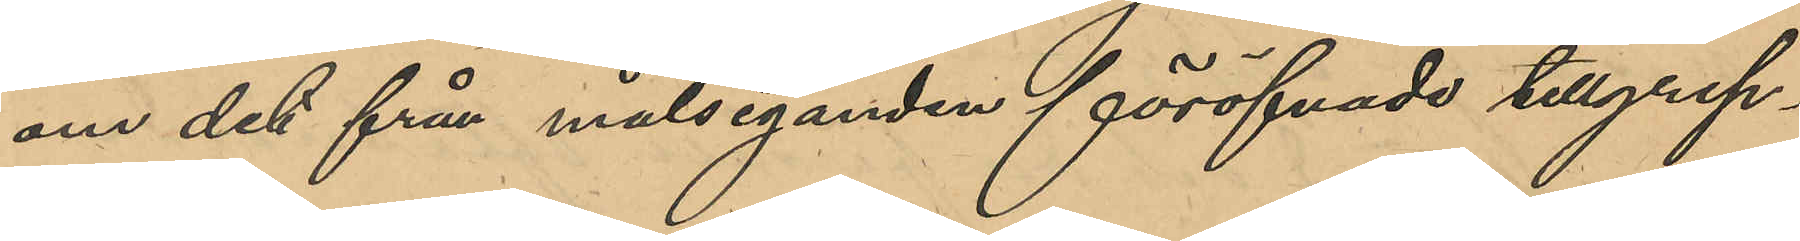om det från målseganden föröfvade tillgrep¬
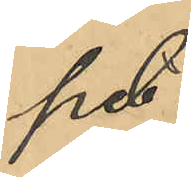pet.
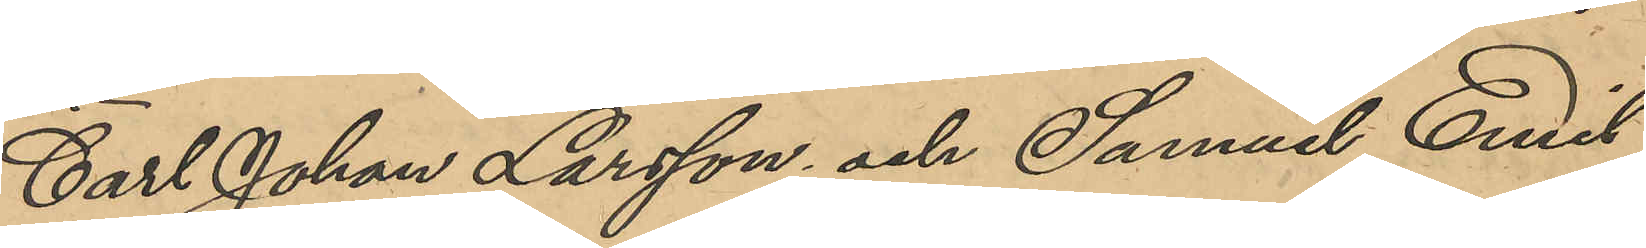Carl Johan Larsson och Samuel Emil
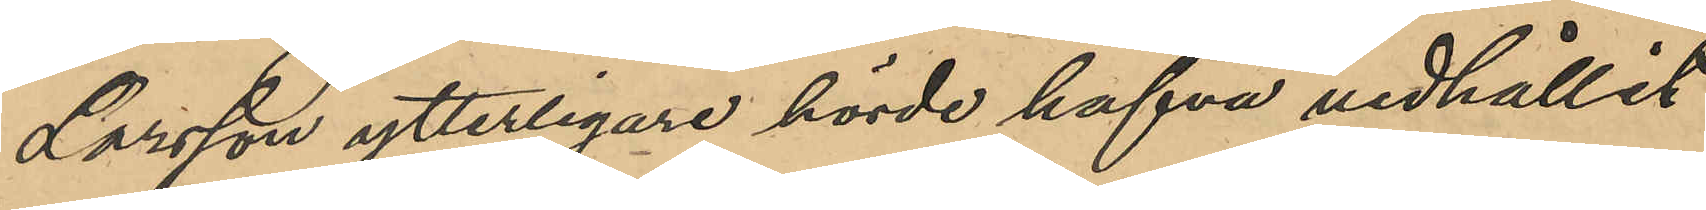Larsson ytterligare hörde hafva vidhållit
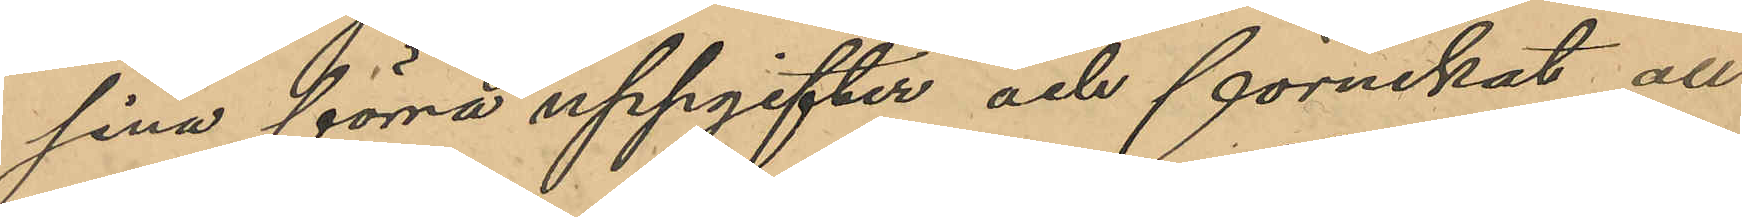sina förra uppgifter och förnekat all
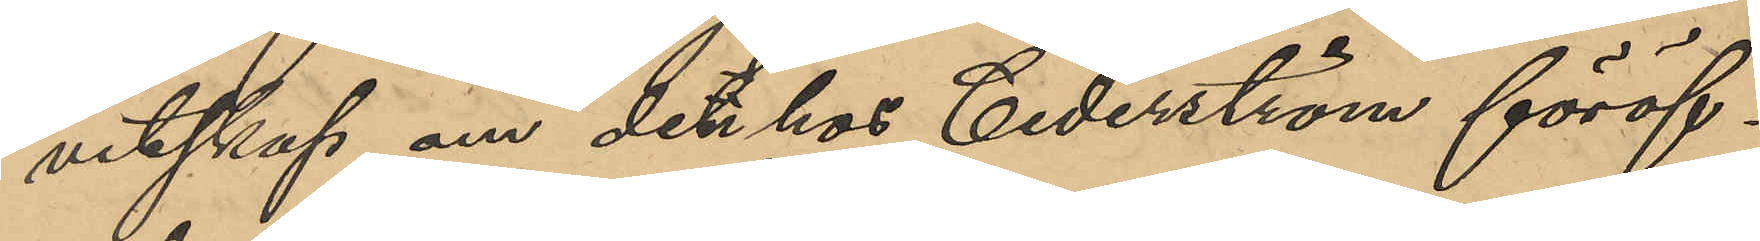vetskap om den hos Cederström föröf¬
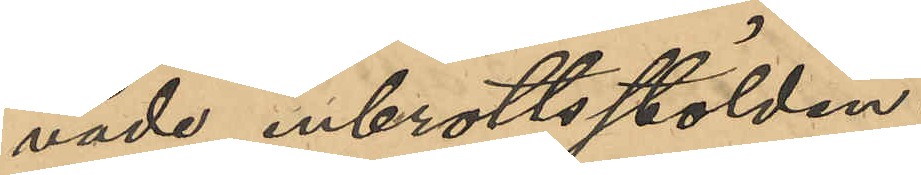vade inbrottsstölden.
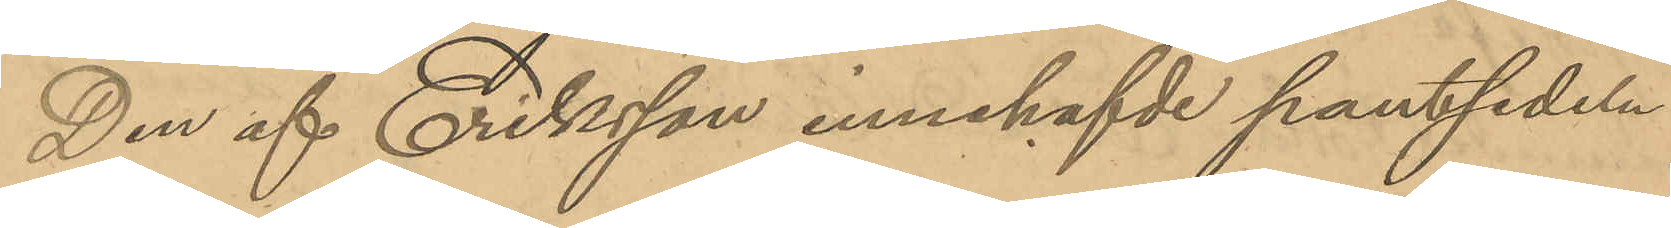Den af Eriksson innehafvde pantsedeln
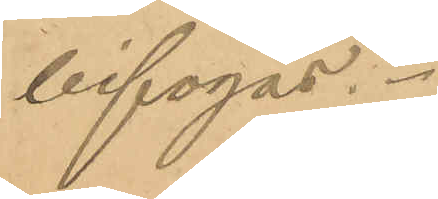bifogas.
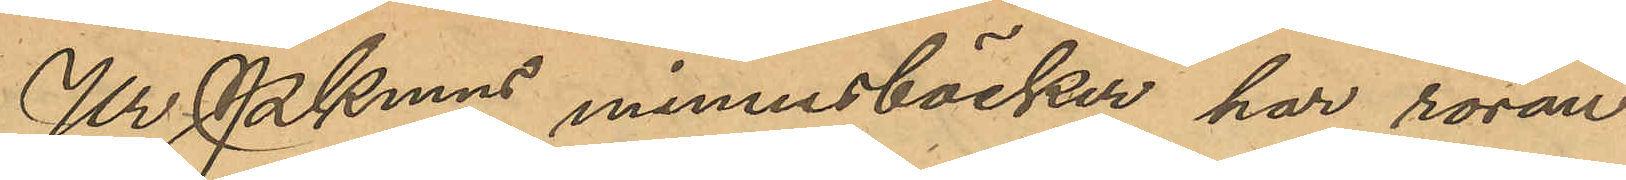Ur PKmns minnesböcker har röran¬
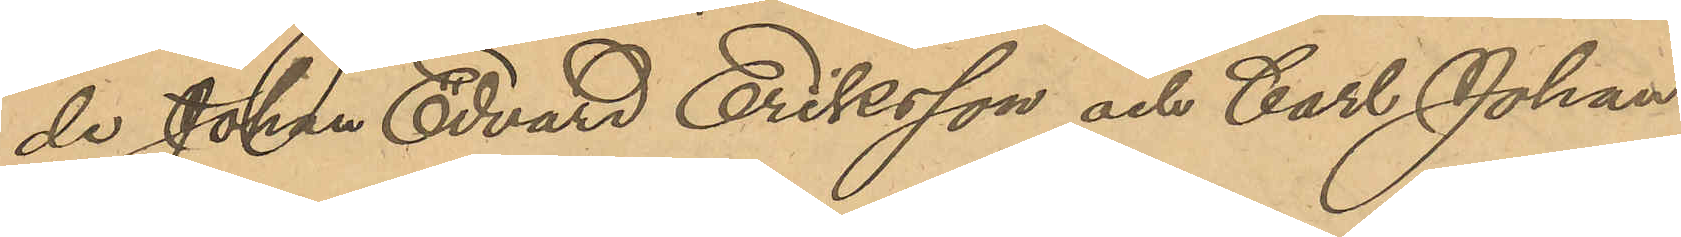de Johan Edvard Eriksson och Carl Johan
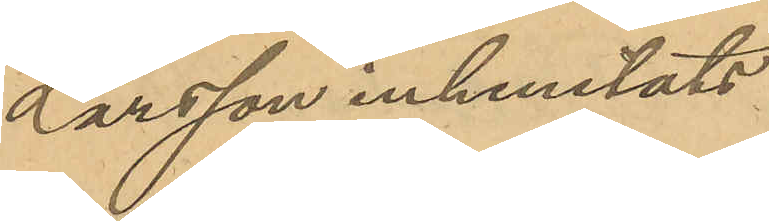Larsson inhemtats:
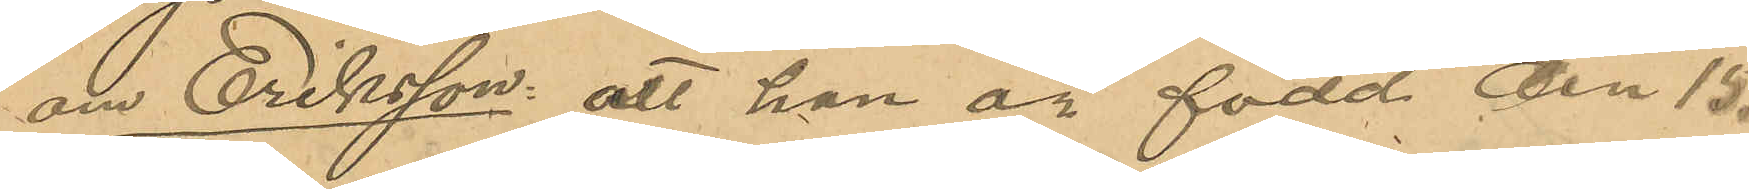om Eriksson att han är född den 15
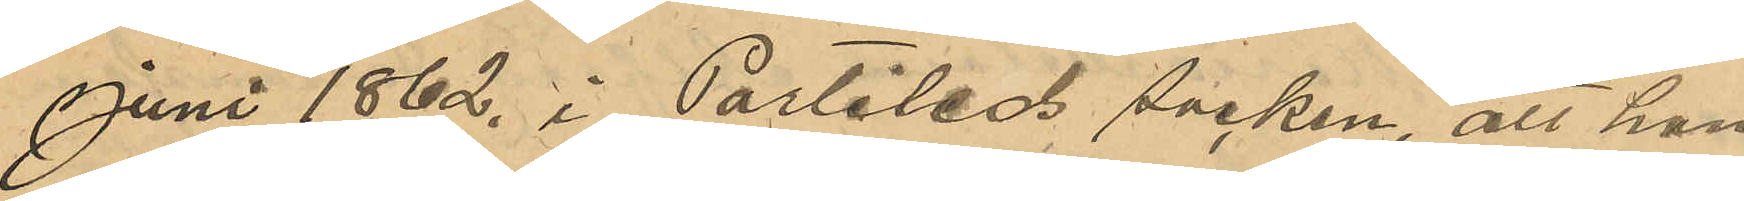Juni 1862 i Partileds socken, att han 
